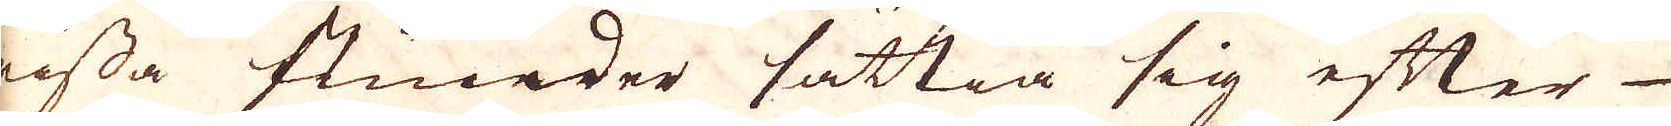wissa stunder sättia sig efter
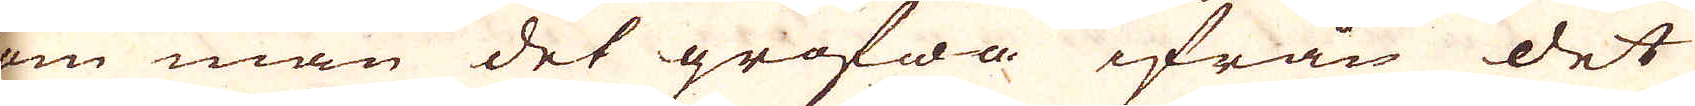som man det grofwa ifrån det
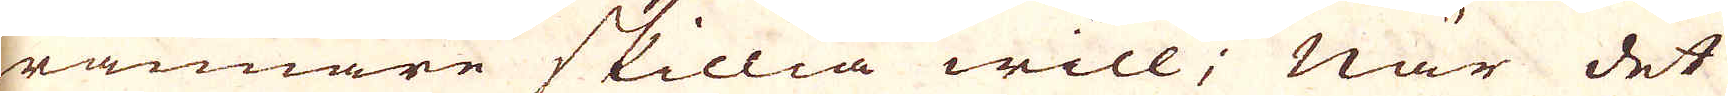grannare skillia will; När det
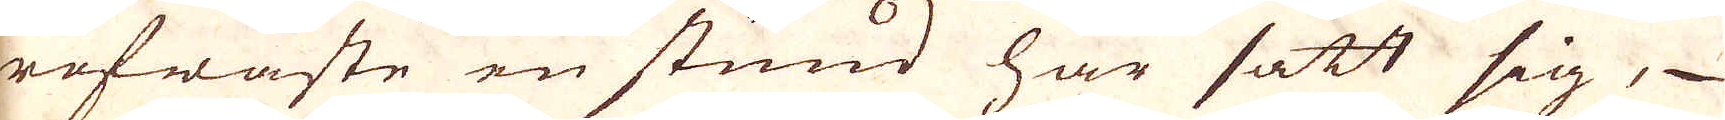grofwaste en stund har satt sig,
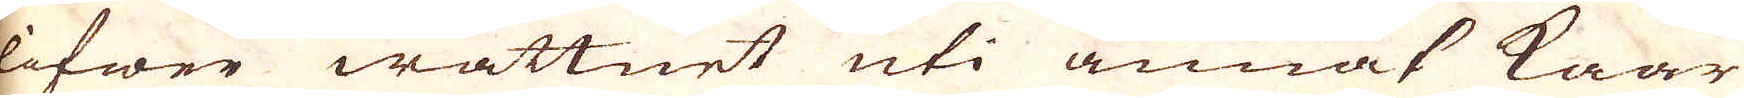blifwer wattnet uti annat kaar
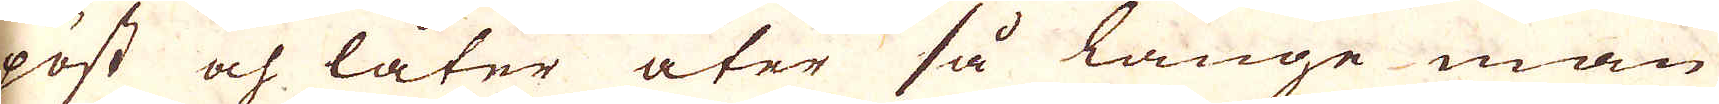opöst och låter åter så länge man
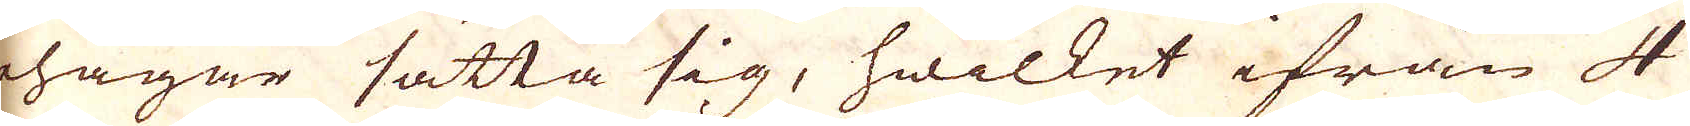behagar sätta sig, hwilket ifrån 4
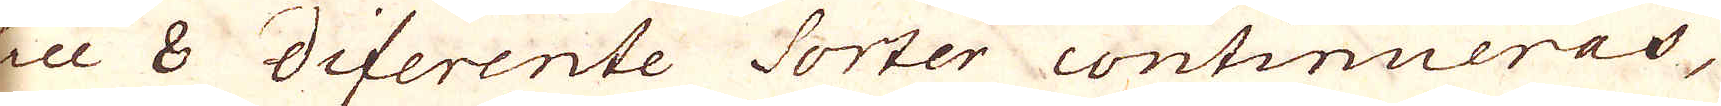till 8 diferente Sorter continueras,
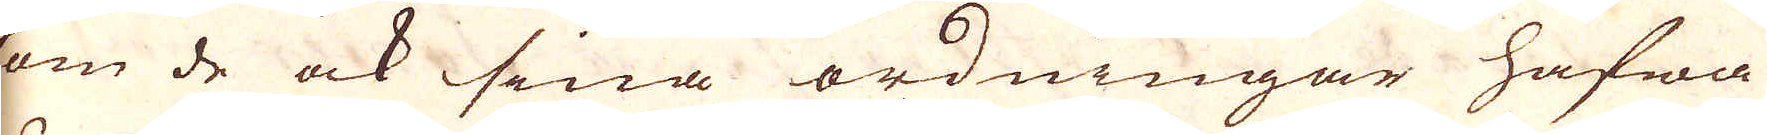om de ock sina ordningar hafwa
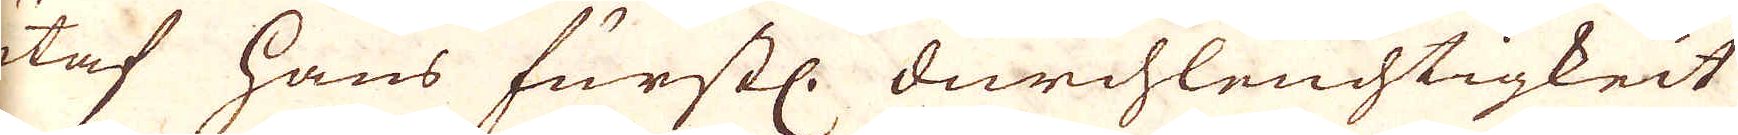utaf hans furstl. durchleuchtigkeit
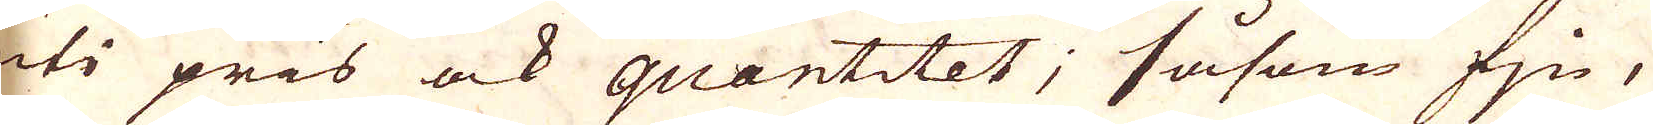uti pris ock quantitet; såsom fjn,
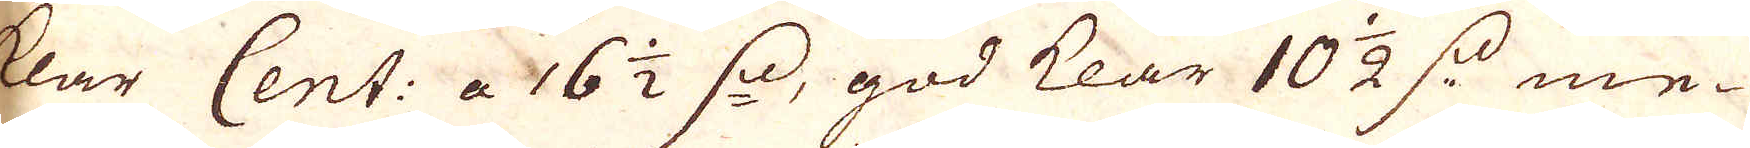klar Cent: a 16 1/2 s: god klar 10 1/2 s: me-
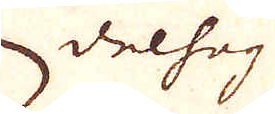delhög
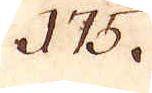175.
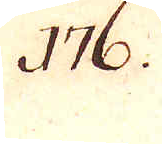176.
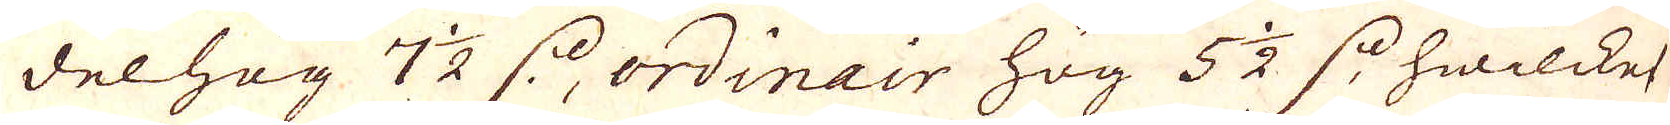delhög 7 1/2 s:, ordinair hög 5 1/2 s: hwilcket
